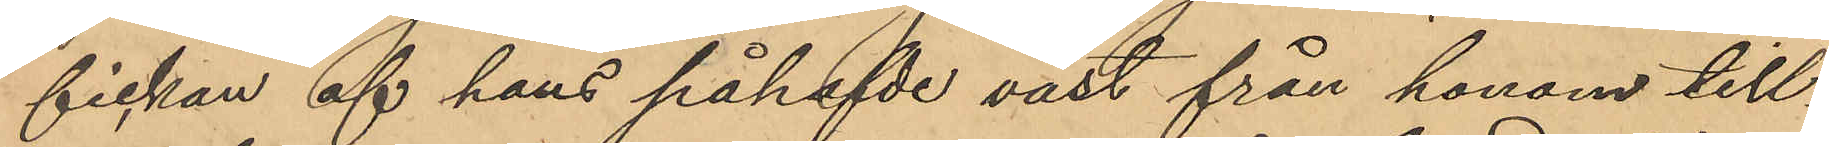fickan af hans påhafvde väst från honom till¬
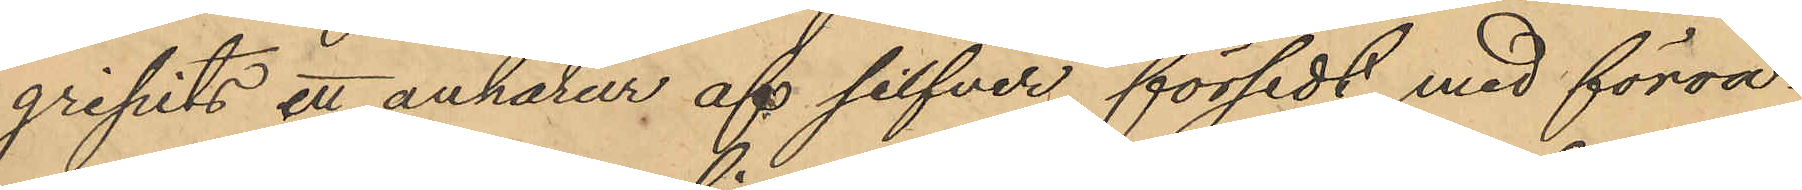gripits ett ankarur af silfver, försedt med förva¬
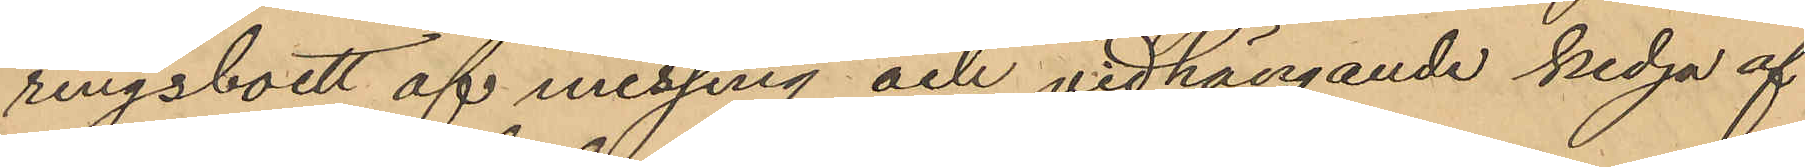ringsboett af messing och vidhängande kedja af
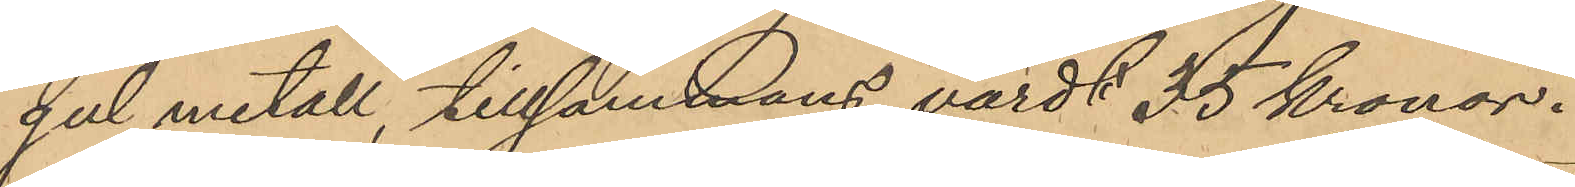gul metall, tillsammans värdt 35 kronor.
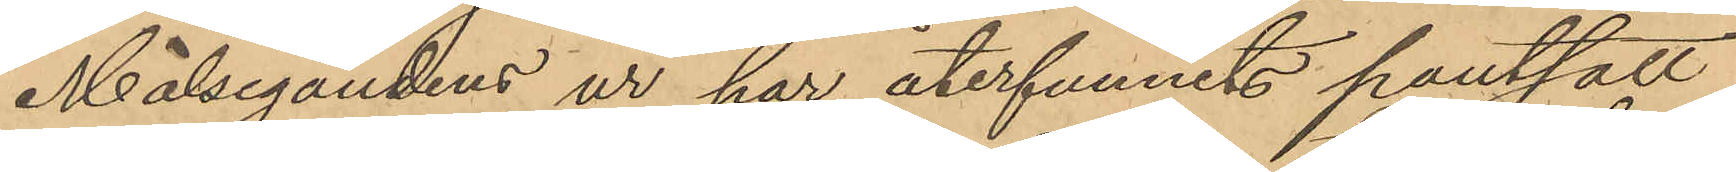Målsegandens ur har återfunnits pantsatt
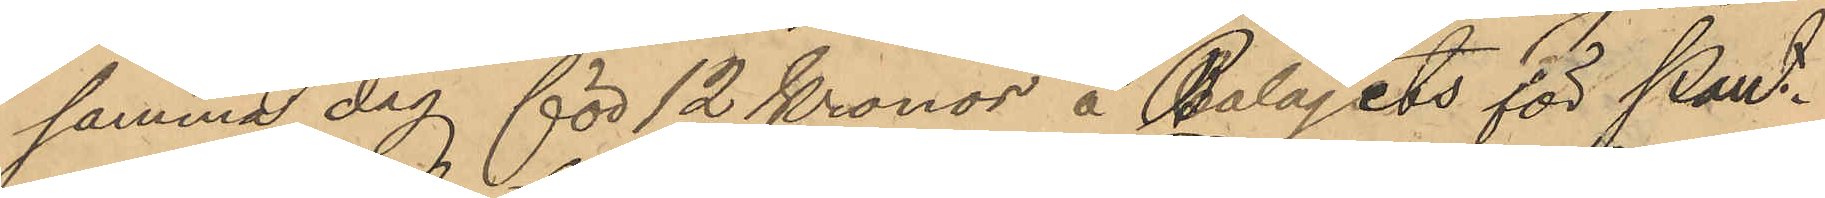samma dag för 12 Kronor å Bolagets för Pant¬
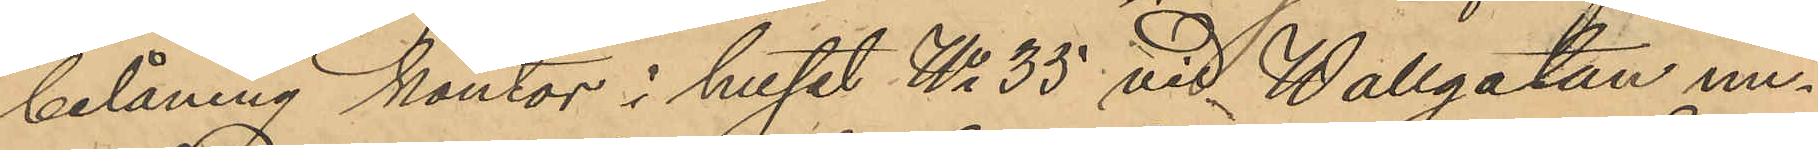belåning kontor i huset No 35 vid Wallgatan un¬
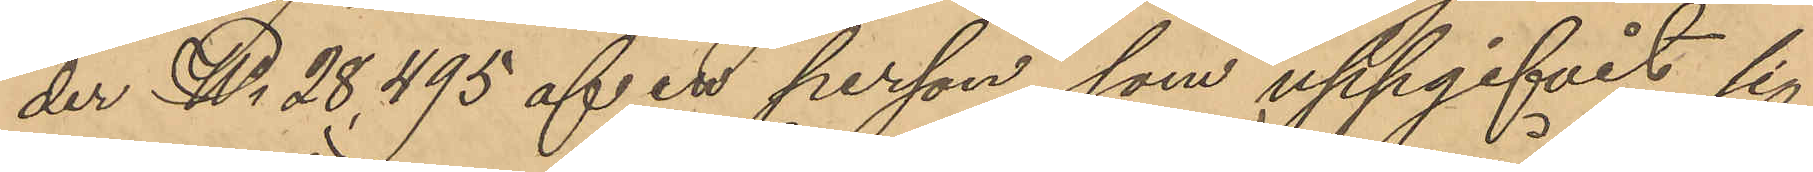der No 28,495 af en person, som uppgifvit sig
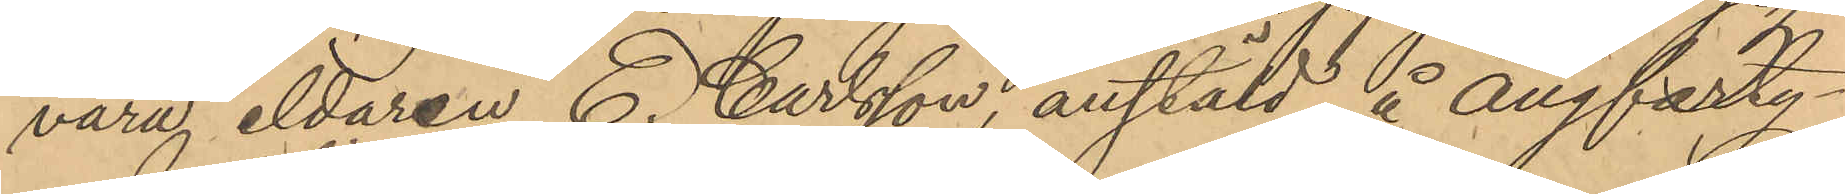vara eldaren E. Carlsson, anstäld å ångfarty¬
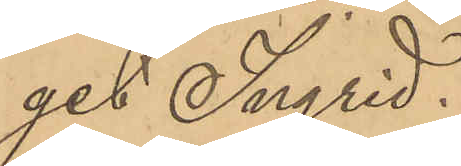get Ingrid.
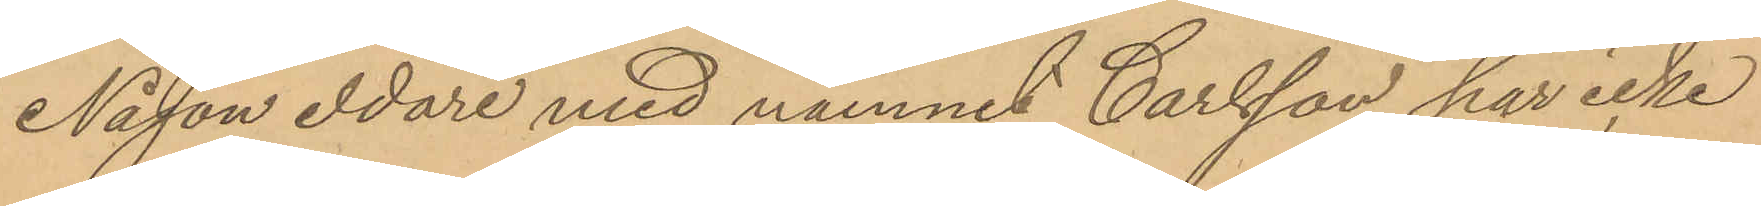Någon eldare med namnet Carlsson har icke
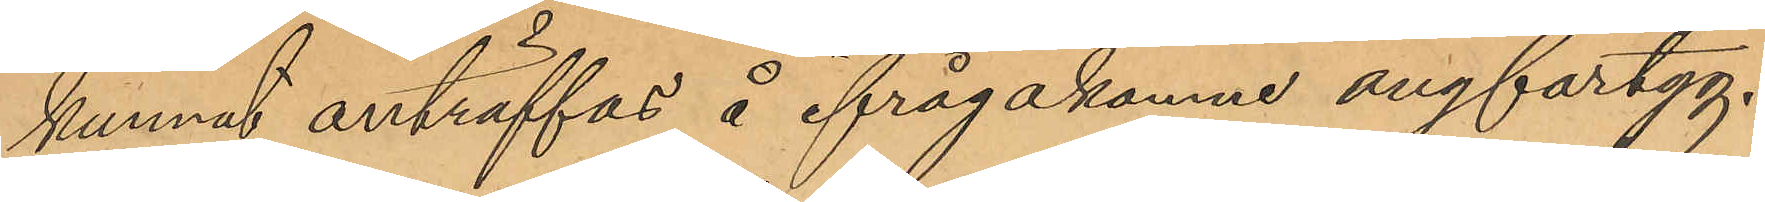kunnat anträffas å ifrågakomne ångfartyg.
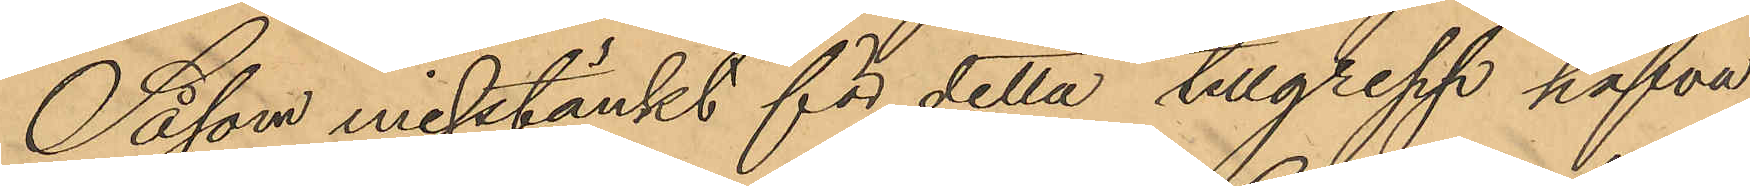Såsom misstänkt för detta tillgrepp hafva
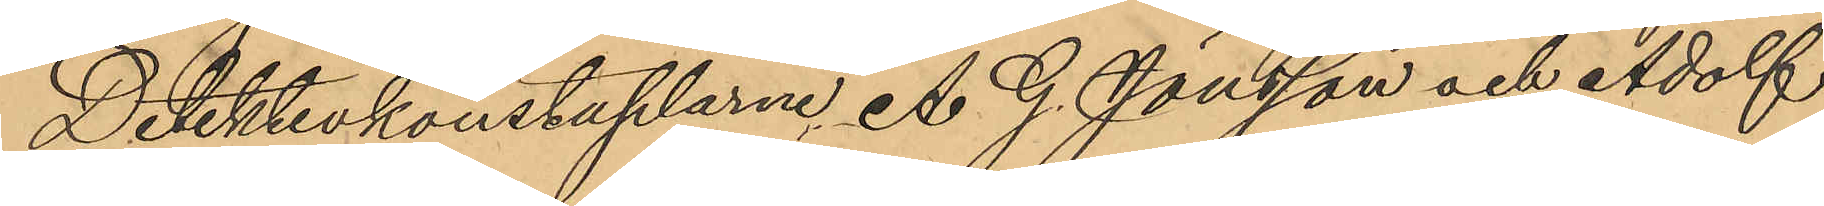Detektivkonstaplarne A. G. Jönsson och Adolf
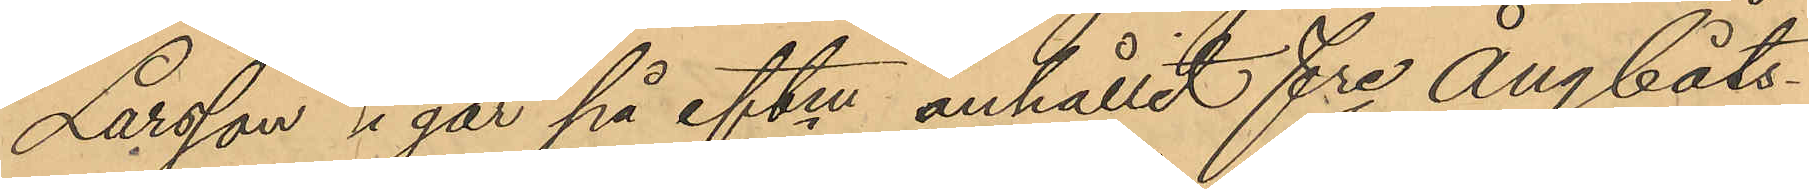Larsson igår på eftm anhållit fre ångbåts¬
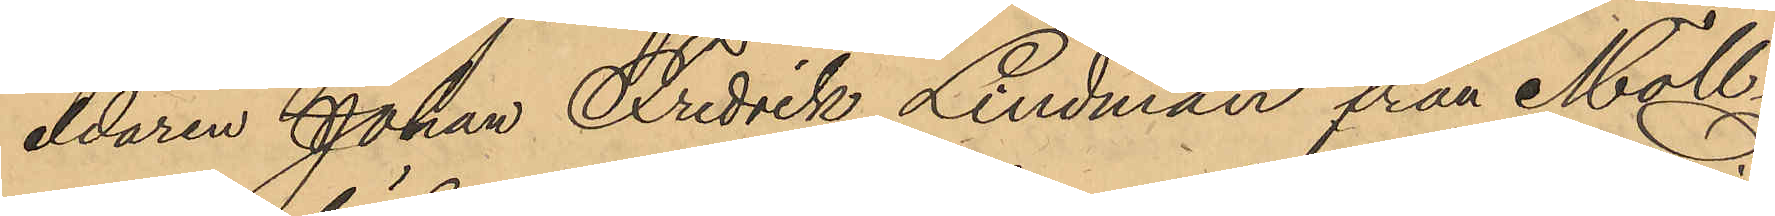eldaren Johan Fredrik Lindman från Möll¬
